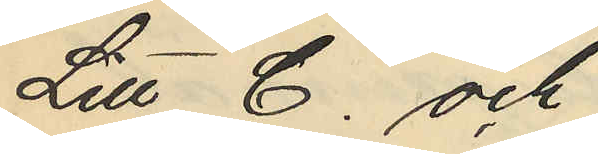Litt C. och
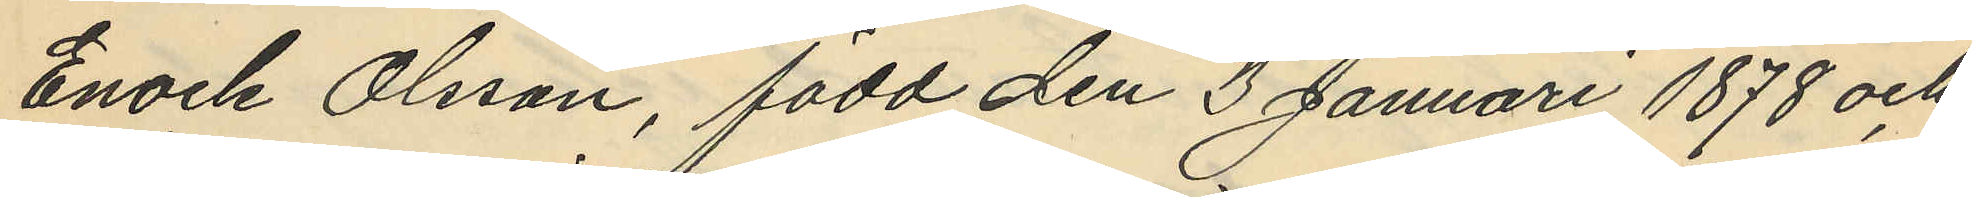Enock Olsson, född den 3 Januari 1878 och
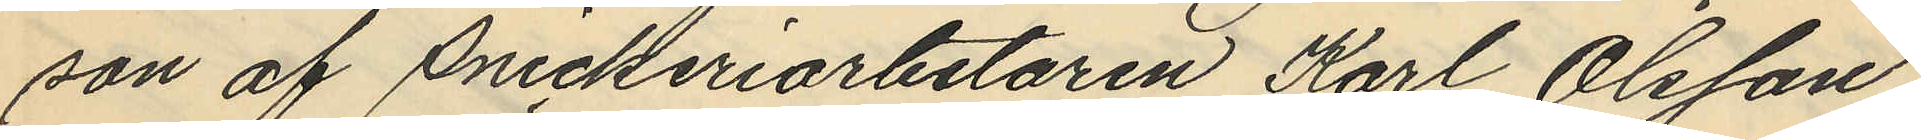son af Snickeriarbetaren Karl Olsson,
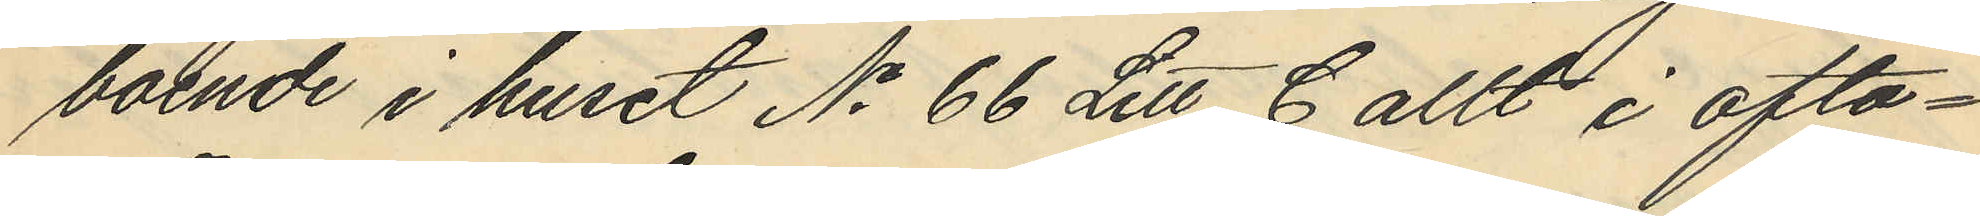boende i huset No 66 Litt C allt i ofta¬
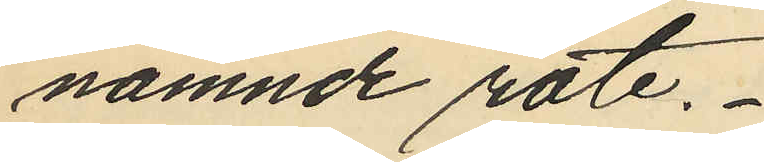nämnde rote.
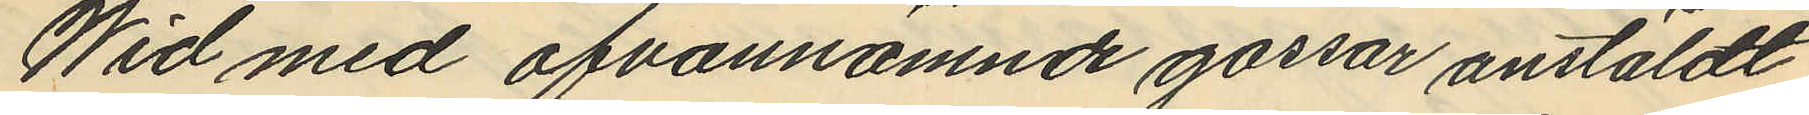Wid med ofvannämnde gossar anstäldt
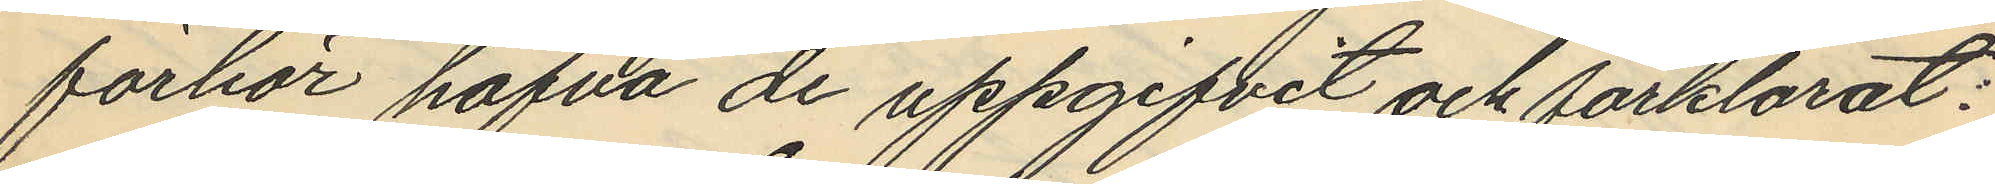förhör hafva de uppgifvit och förklarat:
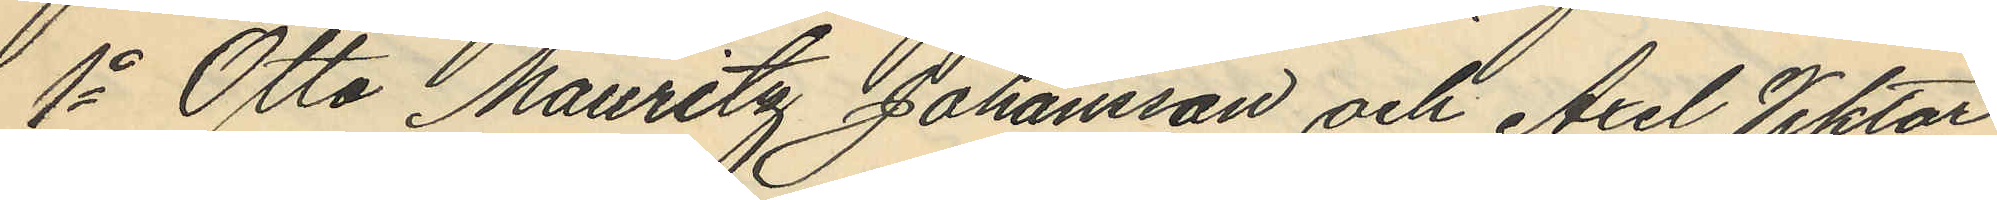1o Otto Mauritz Johansson och Axel Viktor
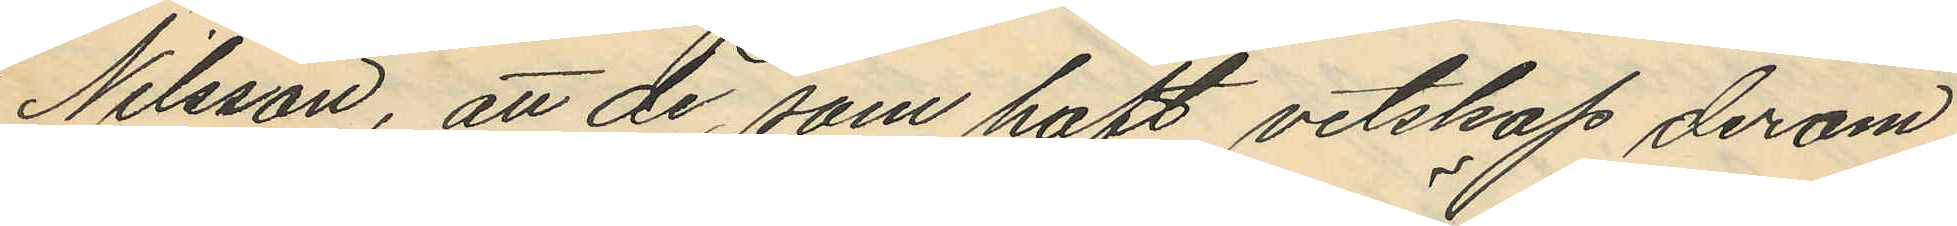Nilsson, att de, som haft vetskap derom
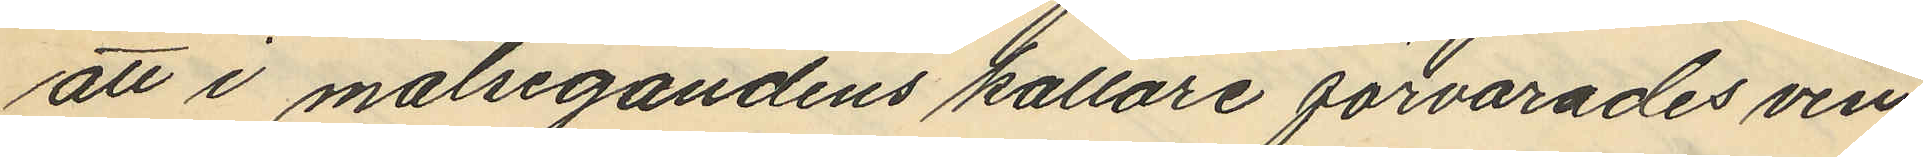att i målsegandens källare förvarades vin,
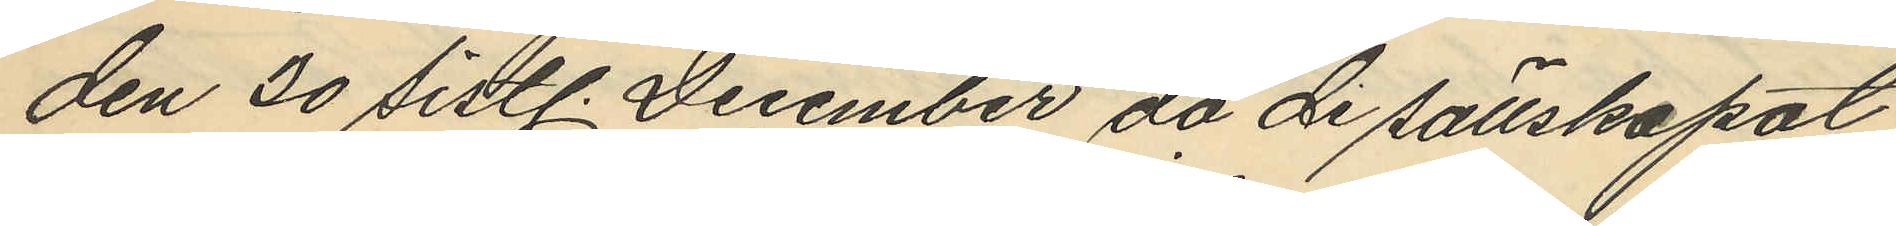den 20 sistl. December då de sällskapat
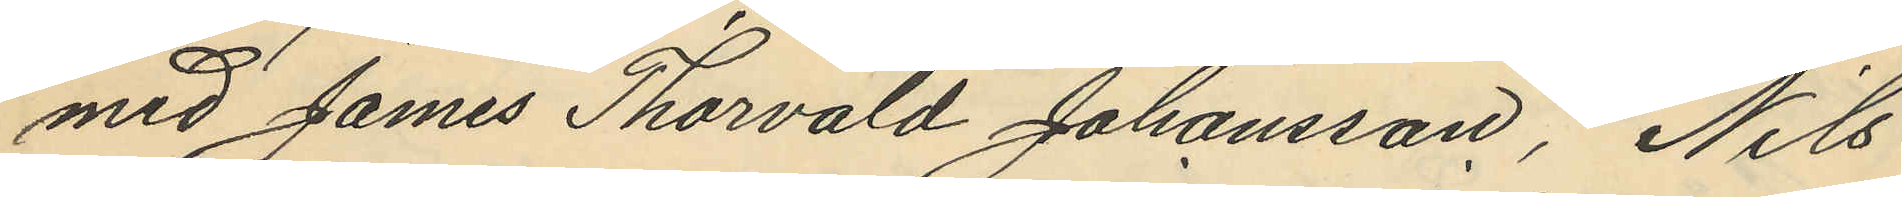med James Thorvald Johansson, Nils
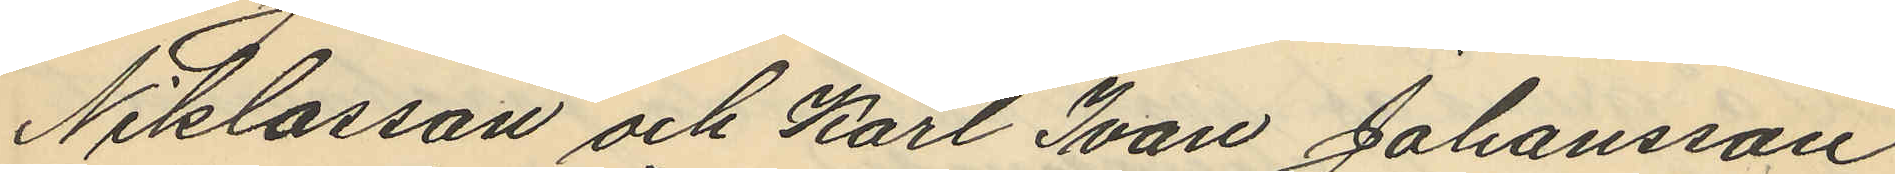Niklasson och Karl Ivan Johansson
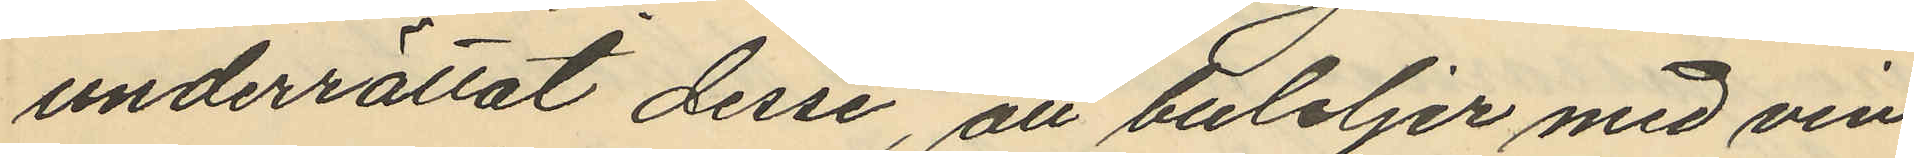underrättat desse, att buteljer med vin
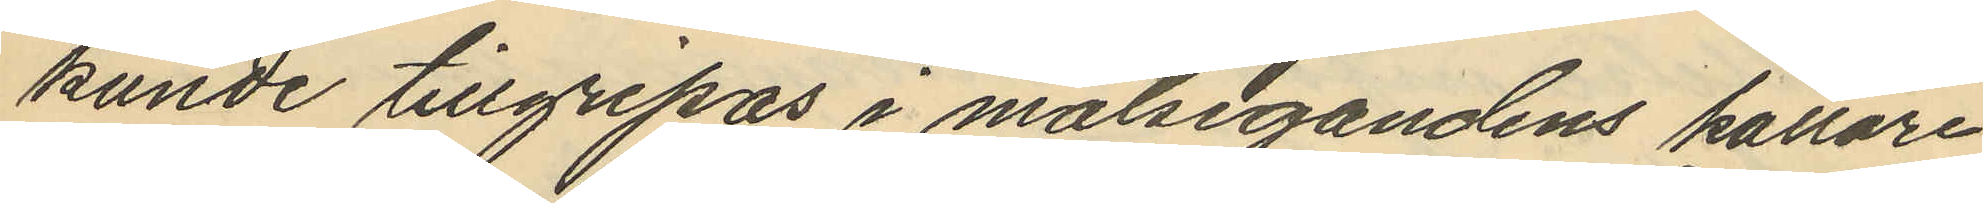kunde tillgripas i målsegandens källare
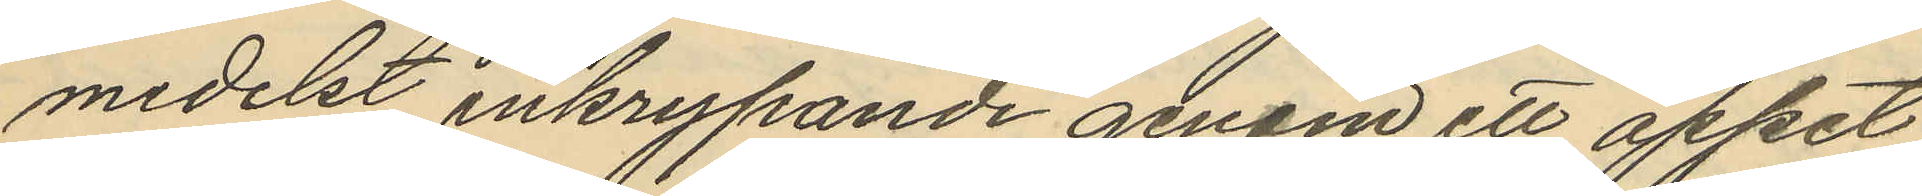medelst inkrypande genom ett öppet
